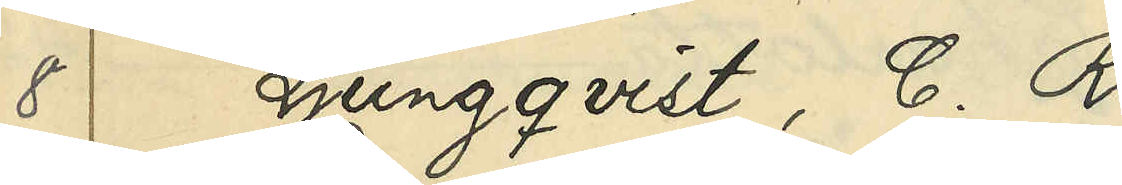8 Ljungqvist, C. R.
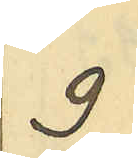9
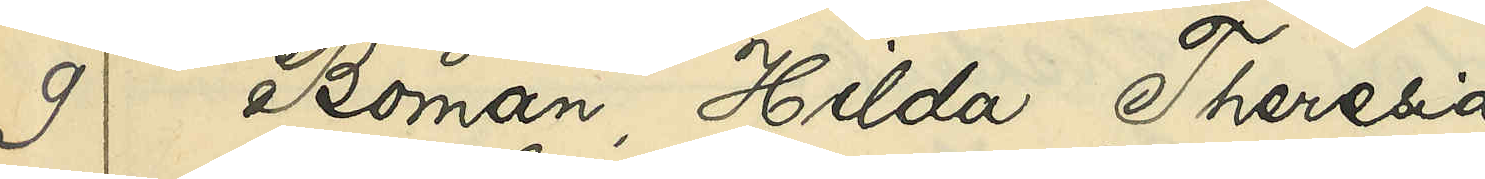9 Boman, Hilda Theresia
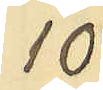10
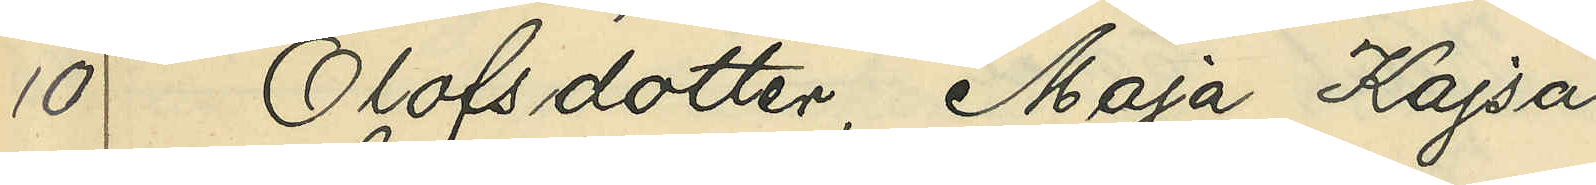10 Olofsdotter, Maja Kajsa
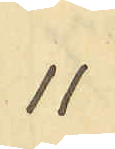11
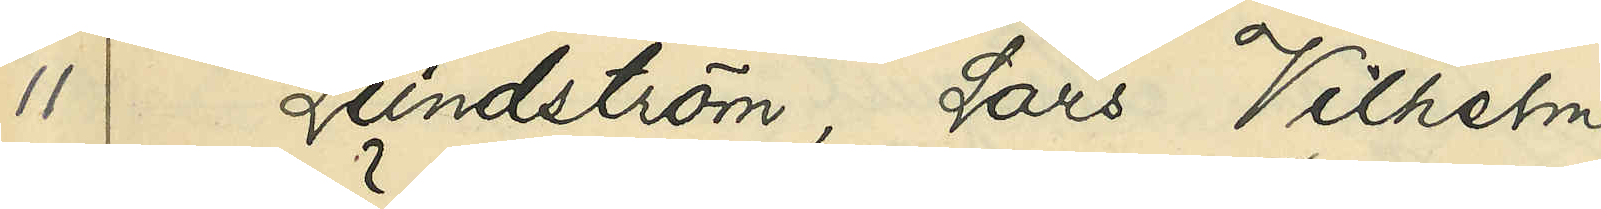11 Lundström, Lars Vilhelm
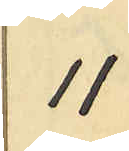11
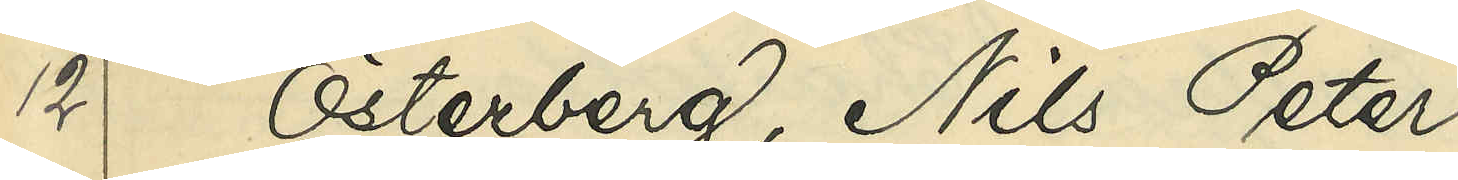12 Österberg, Nils Peter
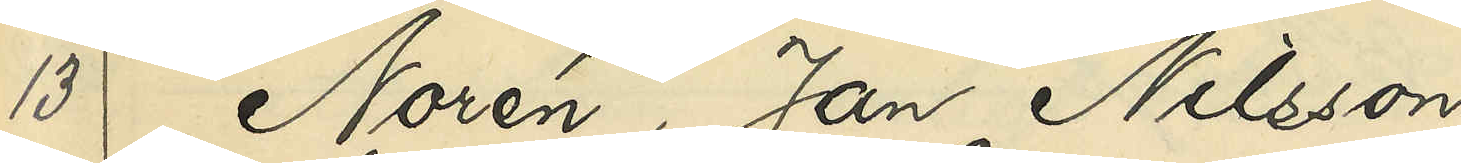13 Norén, Jan Nilsson
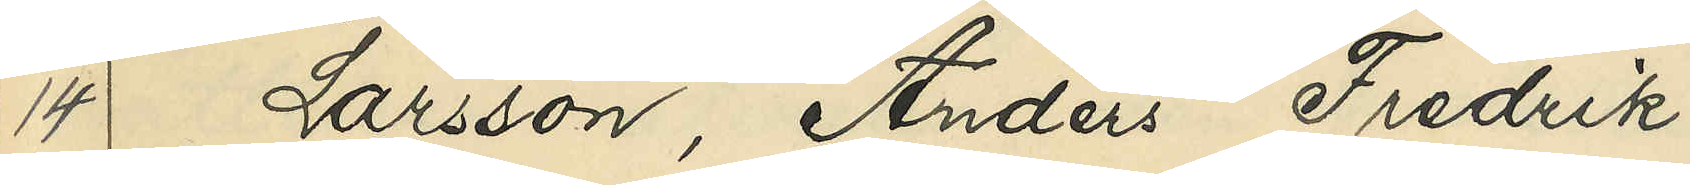14 Larsson, Anders Fredrik
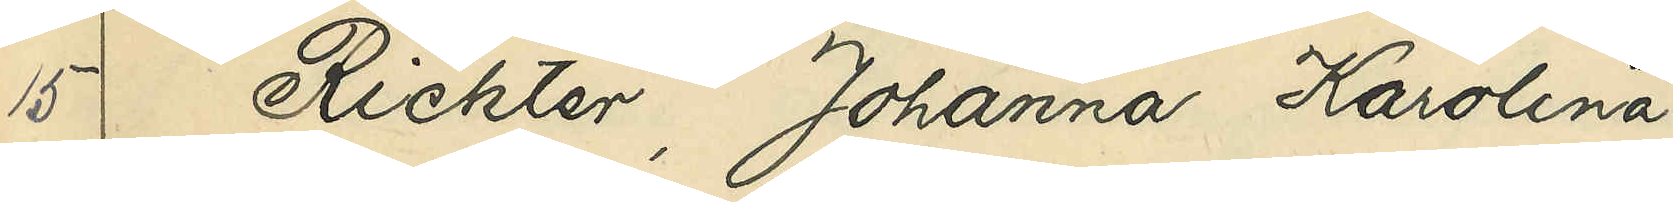15 Richter, Johanna Karolina
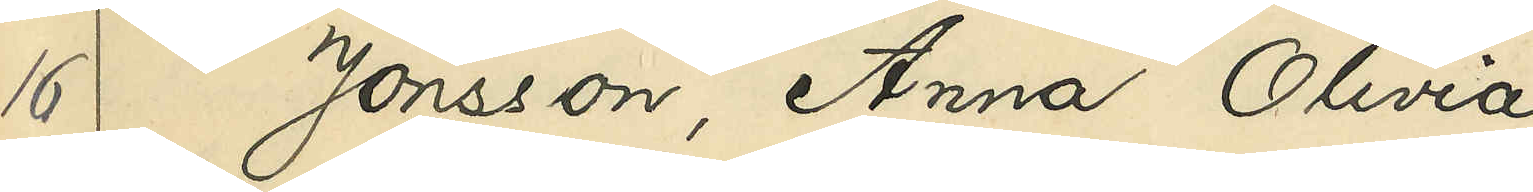16 Jonsson, Anna Olivia
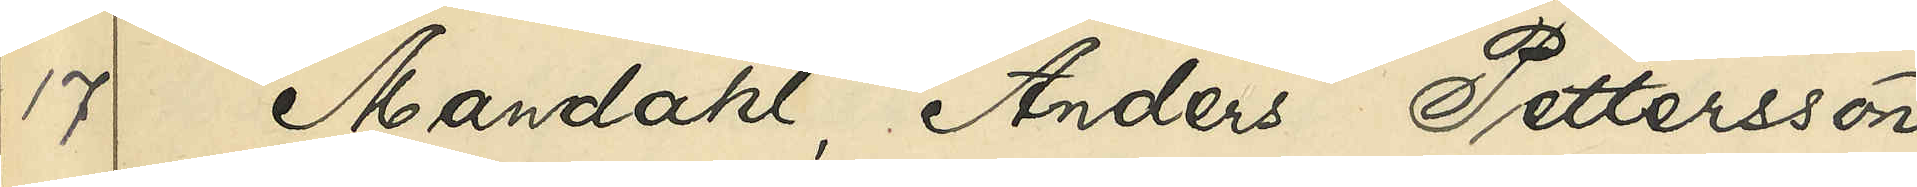17 Mandahl, Anders Pettersson
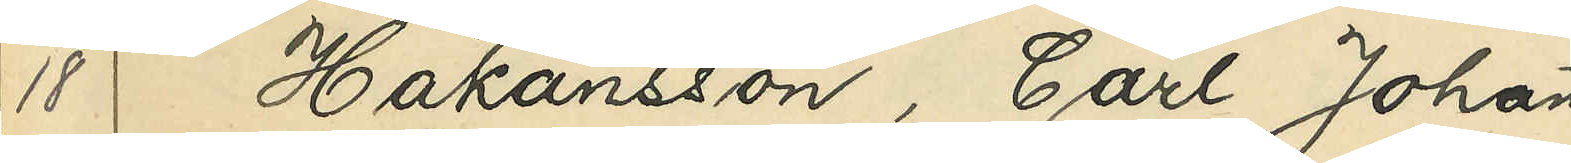18 Håkansson, Carl Johan
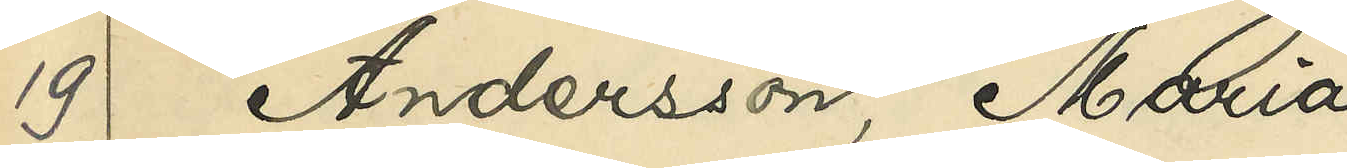19 Andersson, Maria
